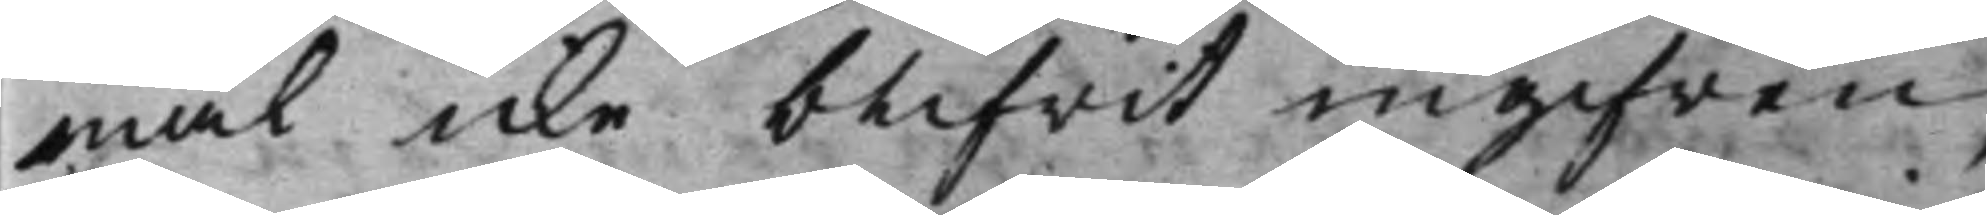mål icke blifwit ingifwen,
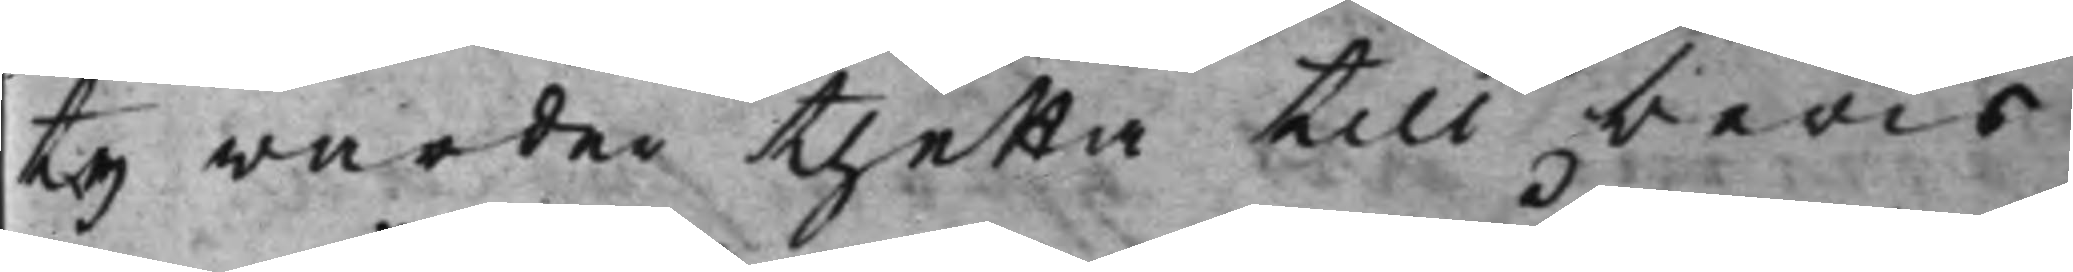ty warder thetta till bewis
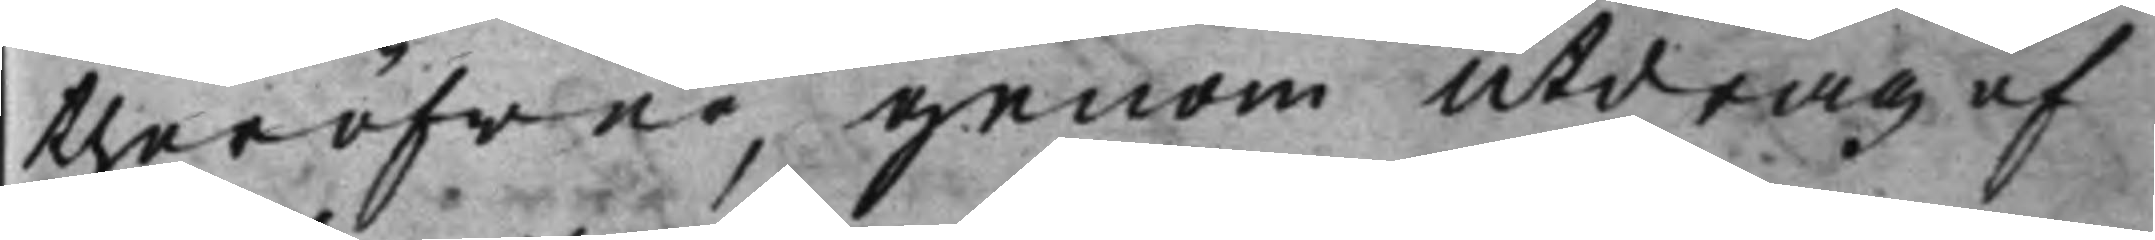theröfwer, genom utdrag af
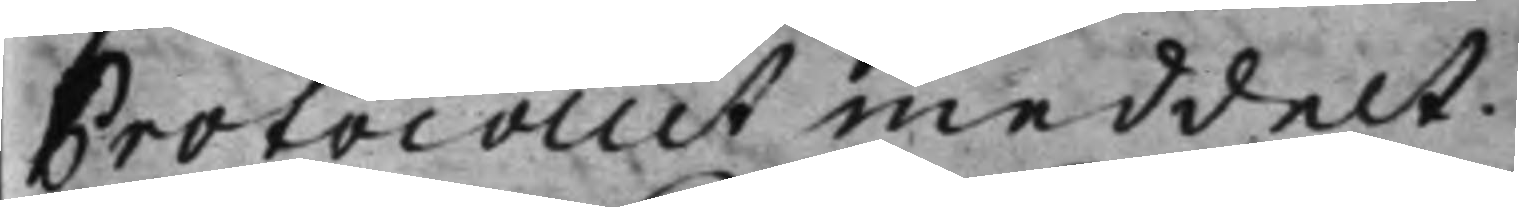Protocollet meddelt.
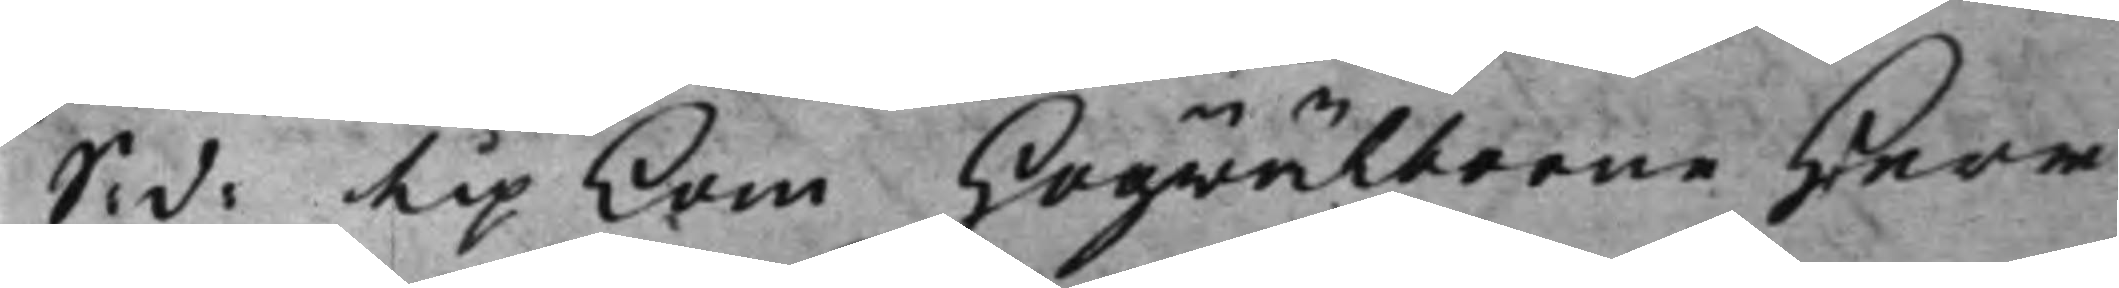S: d: Up kom Högwälborne Herr 
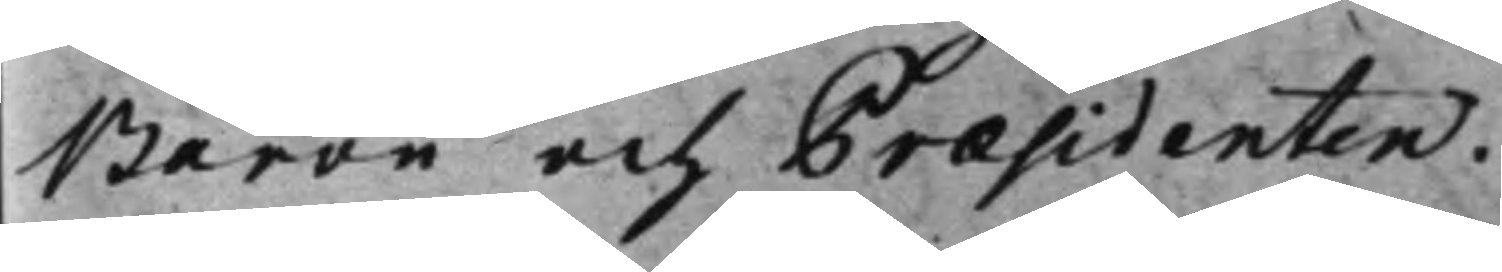Baron och Præsidenten.
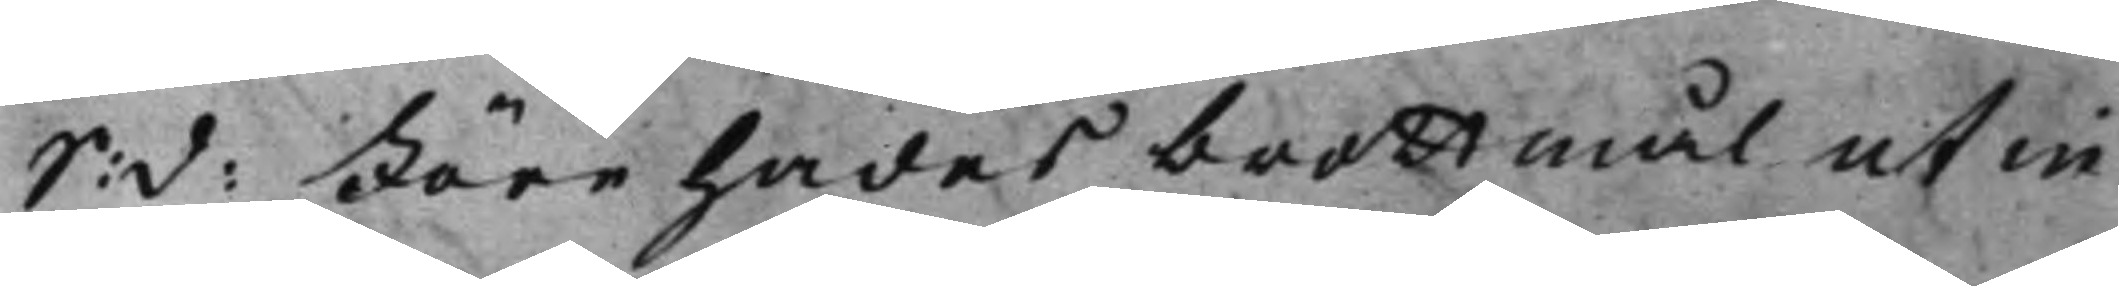S: d: Förehades brottmål ut in 
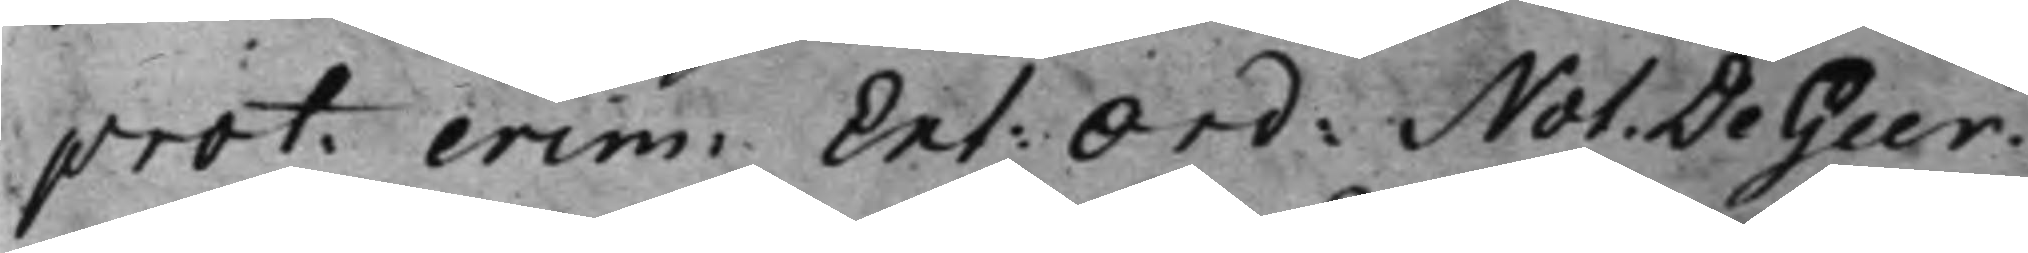prot. crim: Ext: Ord: Not. De Geer. 
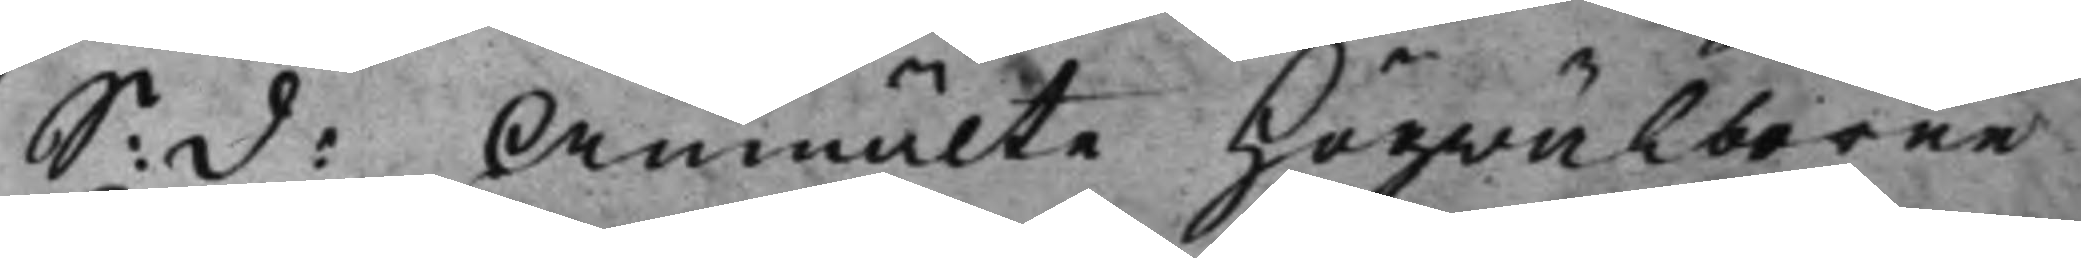S: d: Anmälte Högwälborne 
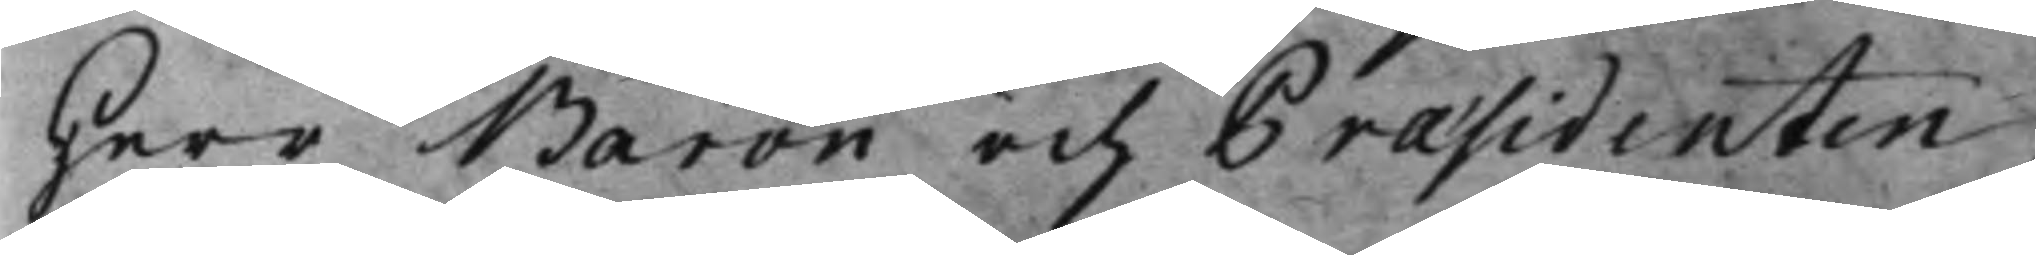Herr Baron och Præsidenten,
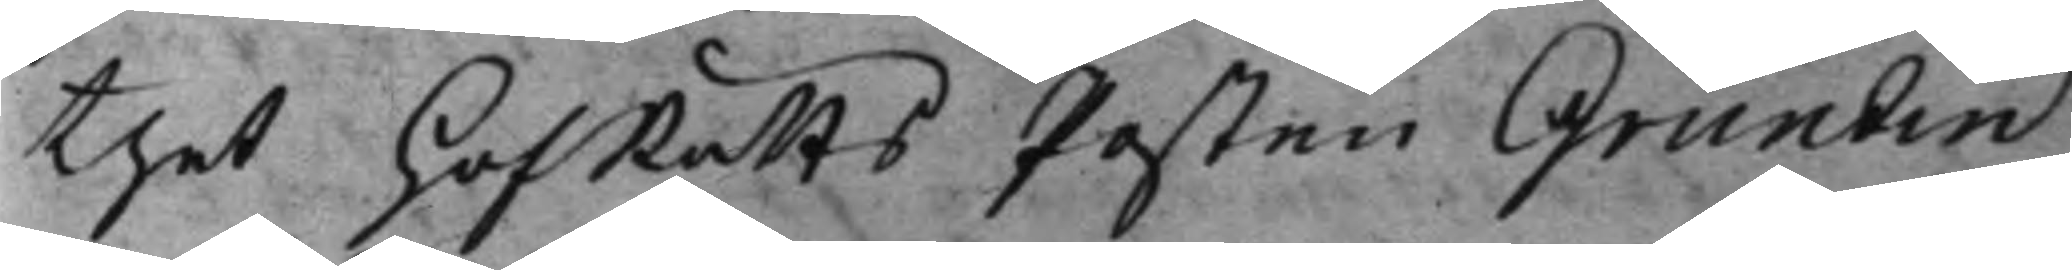thet HofRätts Posten Grundin
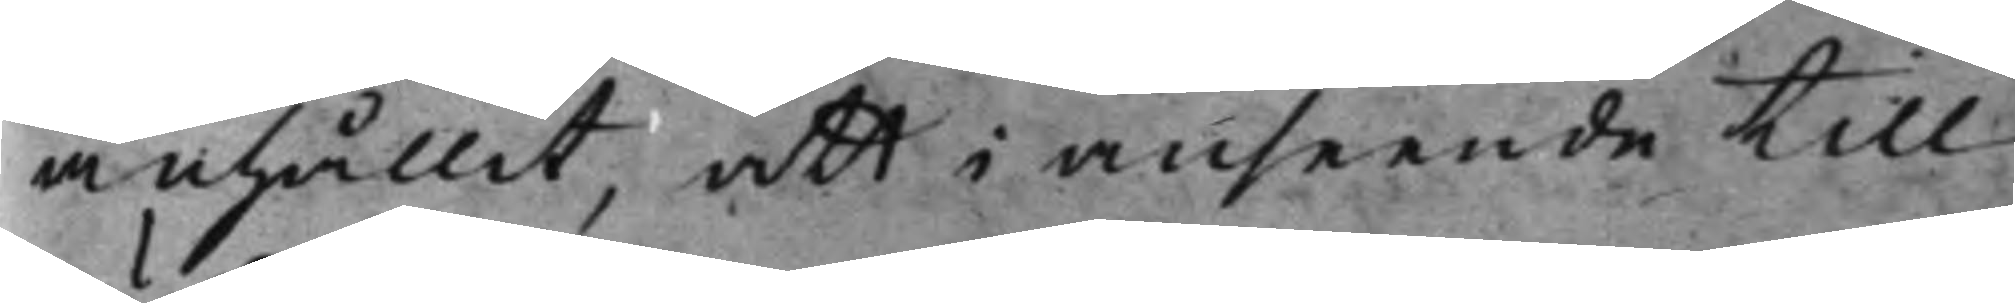anhållit, att i anseende till
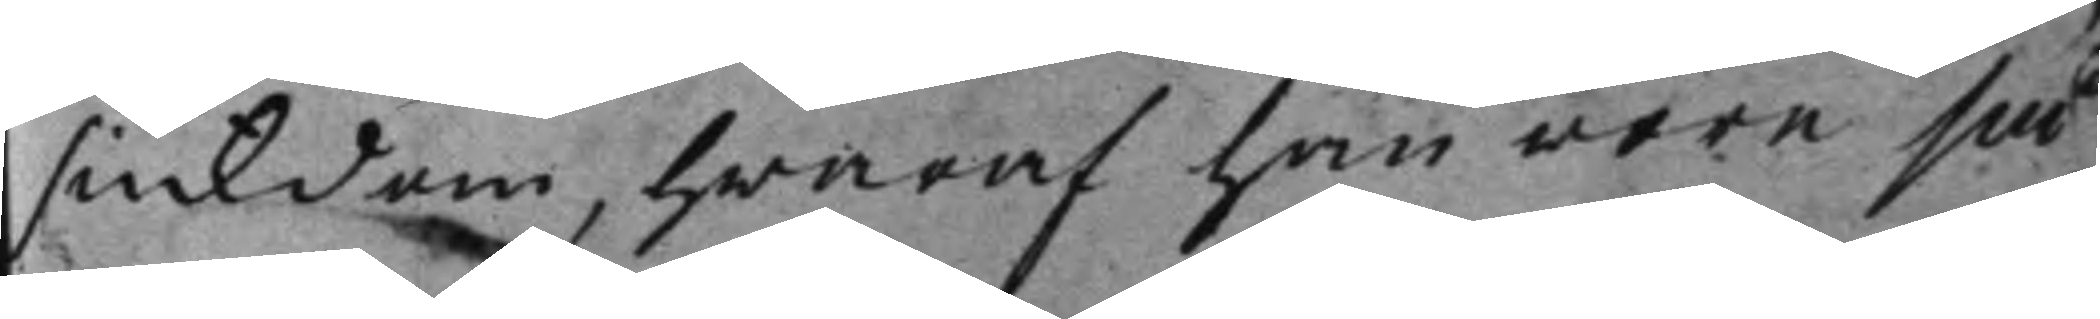siukdom, hwaraf han wore så
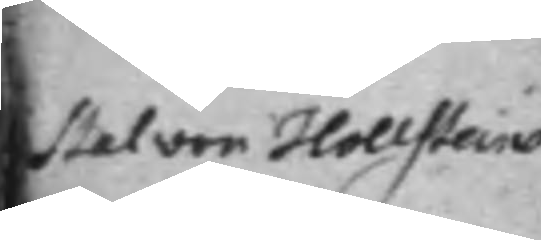Stal von Hollsteins 
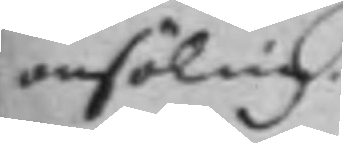ansökning.
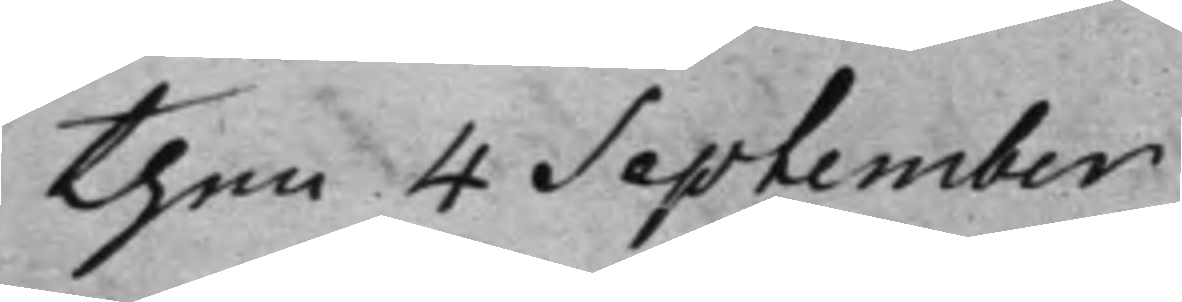then 4 September
